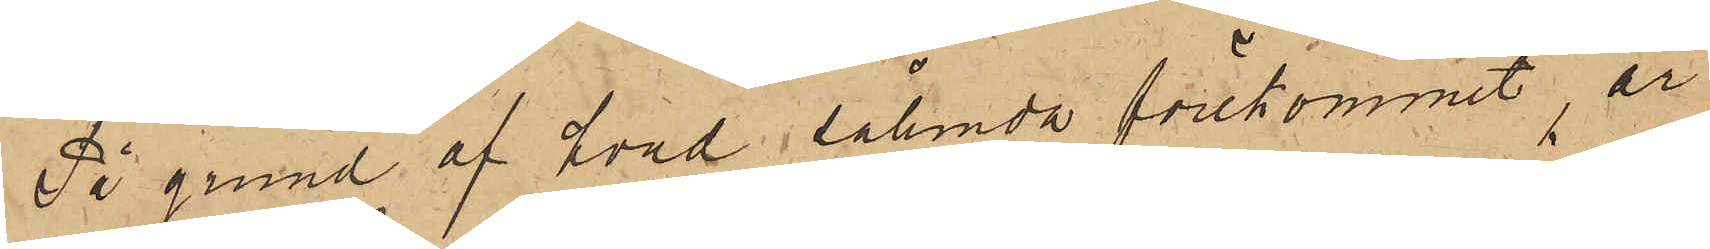På grund af hvad sålunda förekommit, är
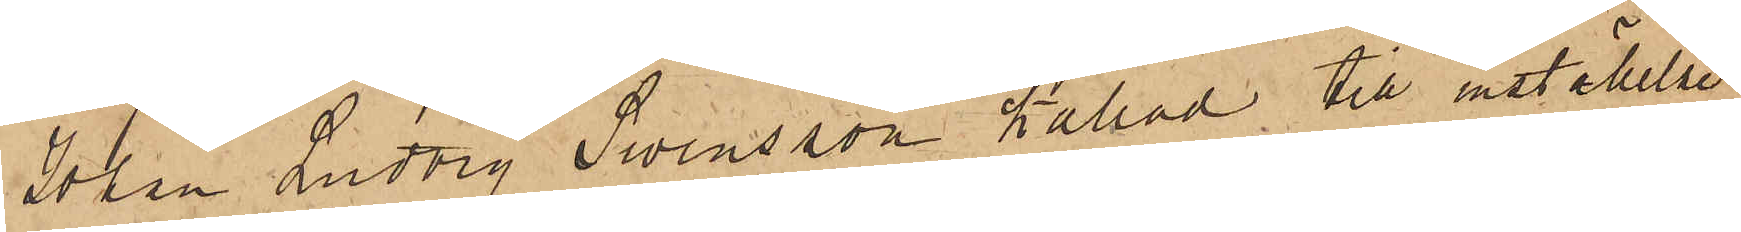Johan Ludvig Swensson kallad till inställelse
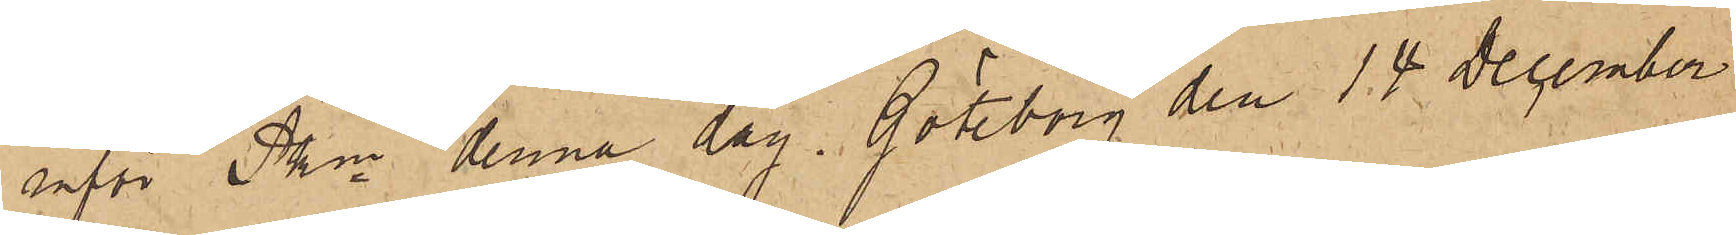inför Pkn denna dag. Göteborg den 14 December
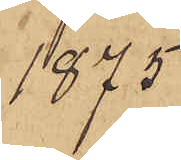1875.
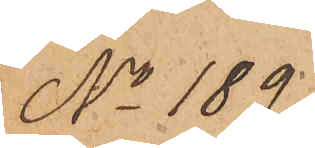No 189
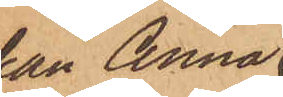Enkan Anna
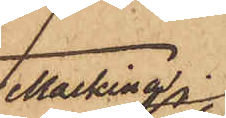Malkina
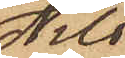Nils¬
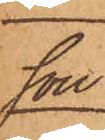son.
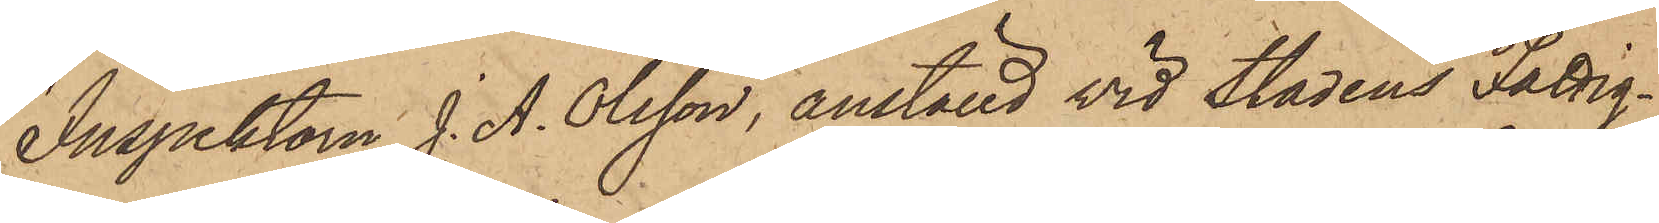Inspektorn J. A. Olsson, anställd vid Stadens Fattig¬
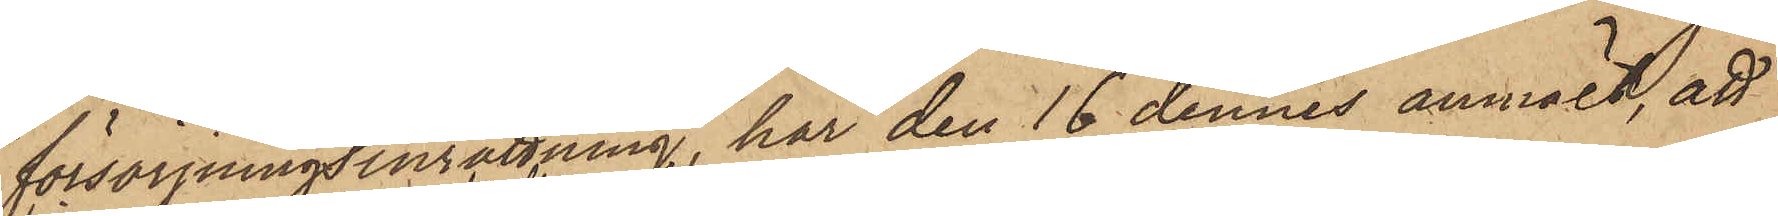försörjningsinrättning, har den 16 dennes anmält, att
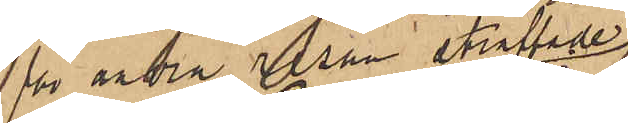för andra resan straffade
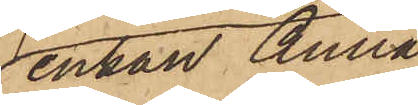enkan Anna
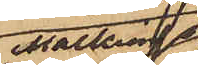Malkina
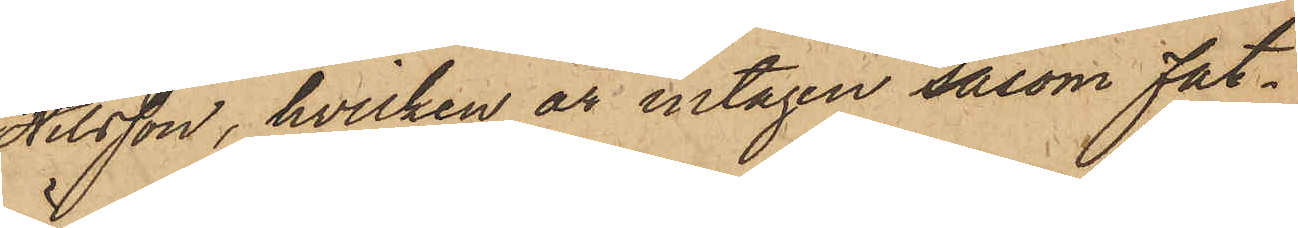Nilsson, hvilken är intagen såsom fat¬
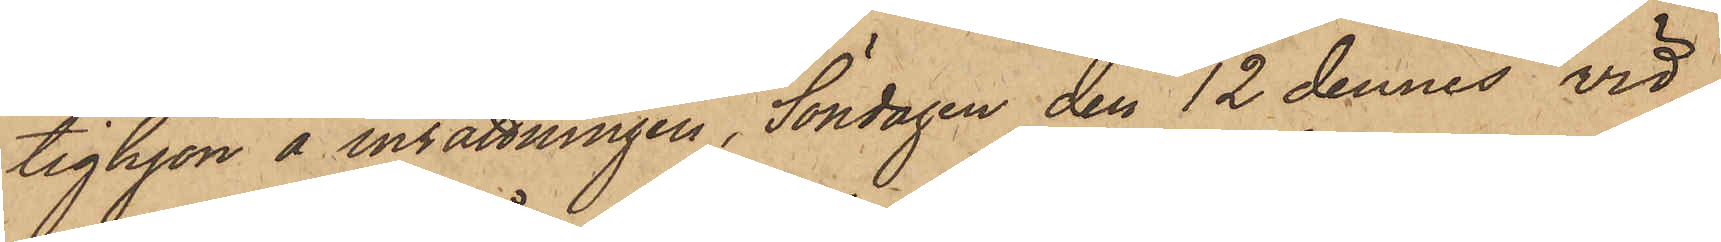tighjon å insättningen, Söndagen den 12 dennes vid
